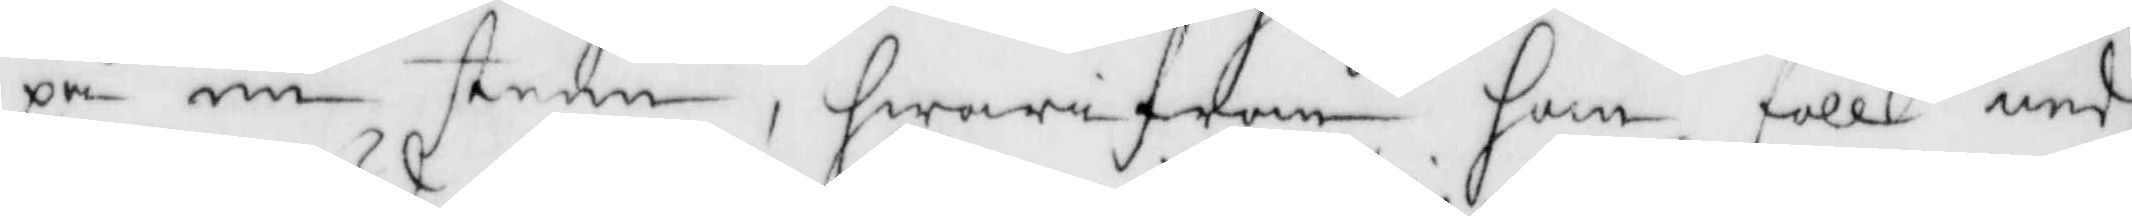på en steen, hwarifrån han föll ned
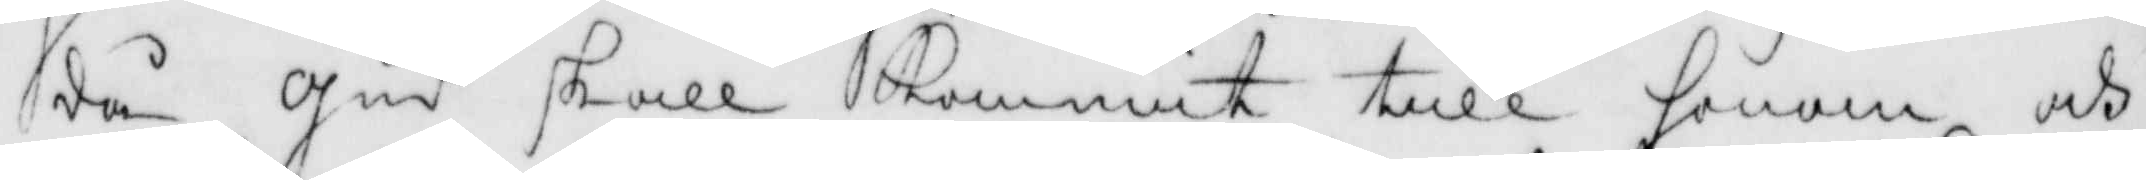då Gud skall kommit till honom och
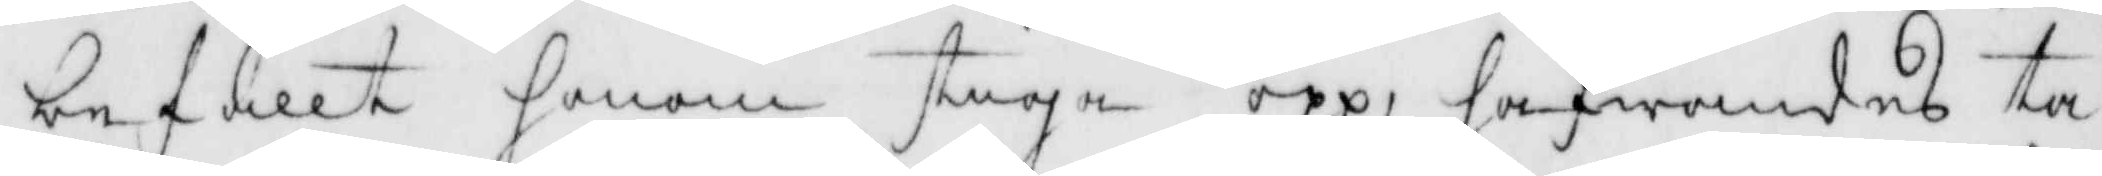befallt honom stiga opp, hafwandes ta¬
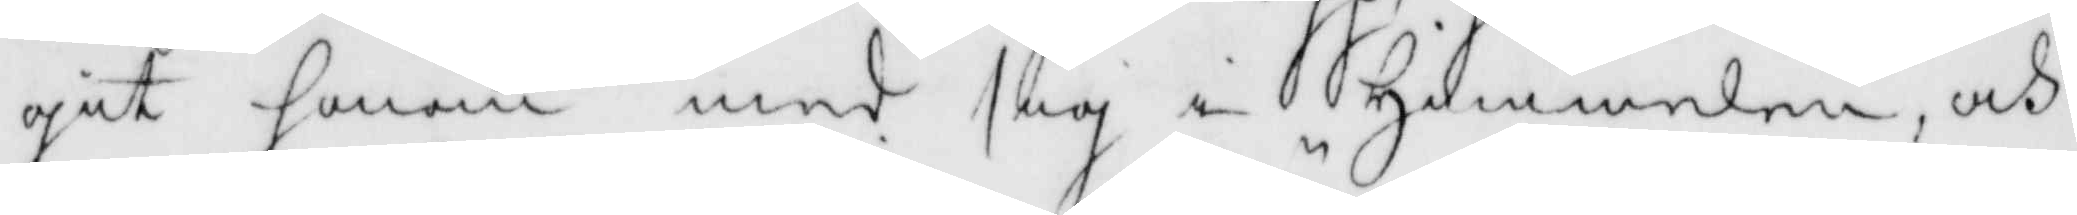git honom med sig i himmelen, och
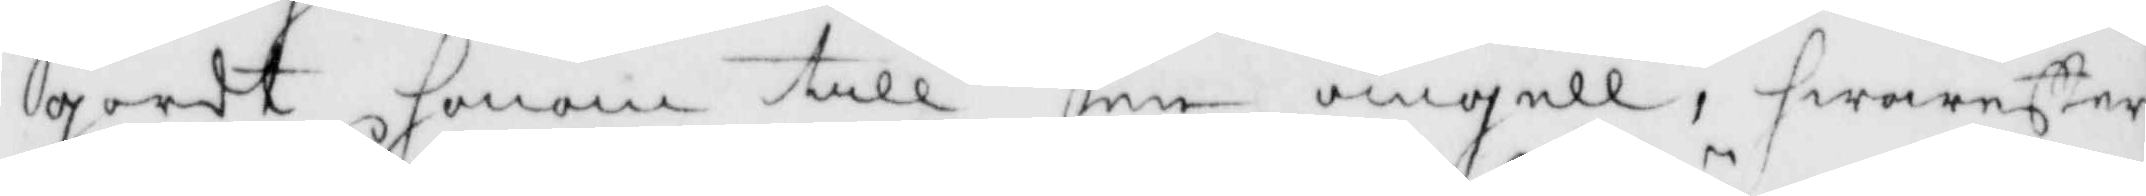gordt honom till den ängell, hwareftter
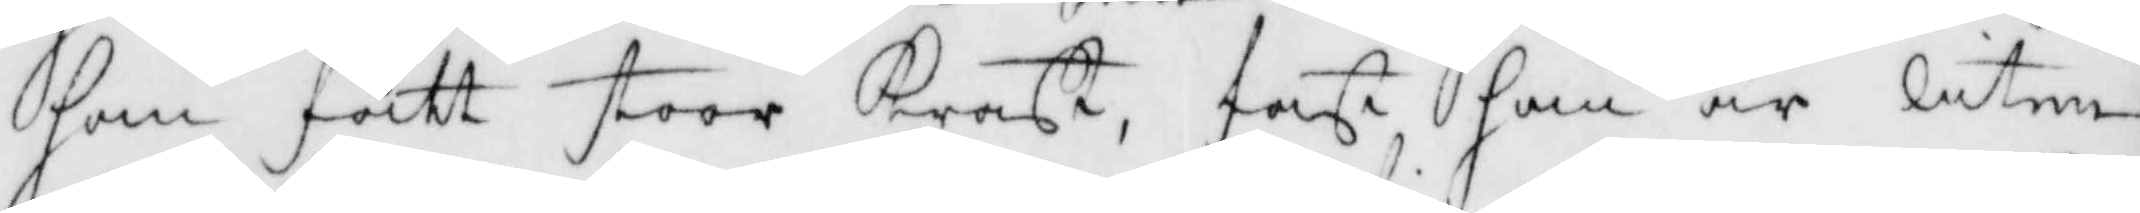som fått stoor Kraft, fast han är liten
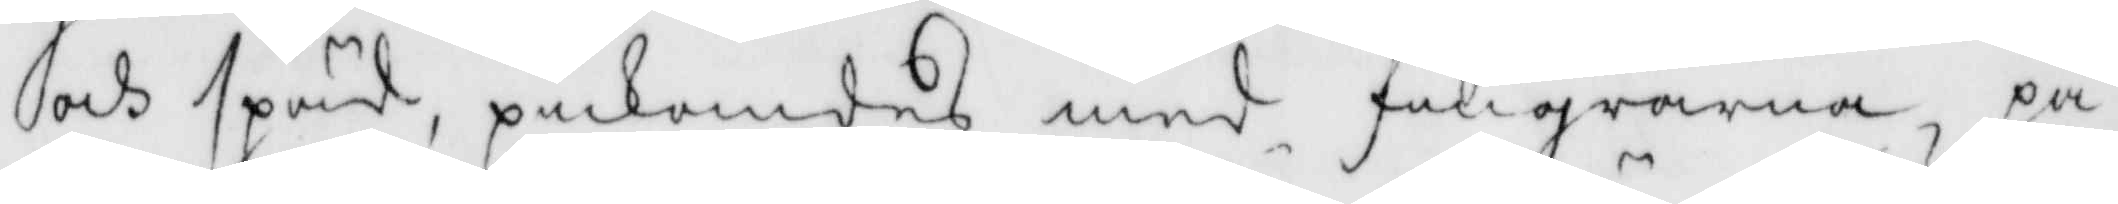och späd, pickandes med fingrarna, på
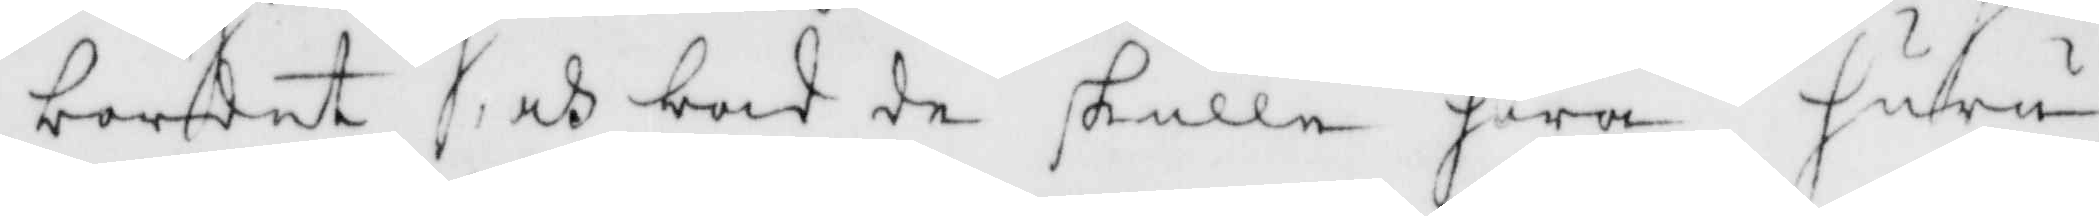bordet och bad de skulle höra huru
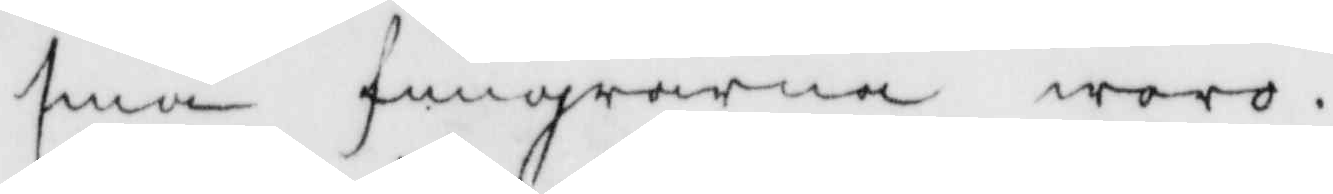små fingrarna woro.
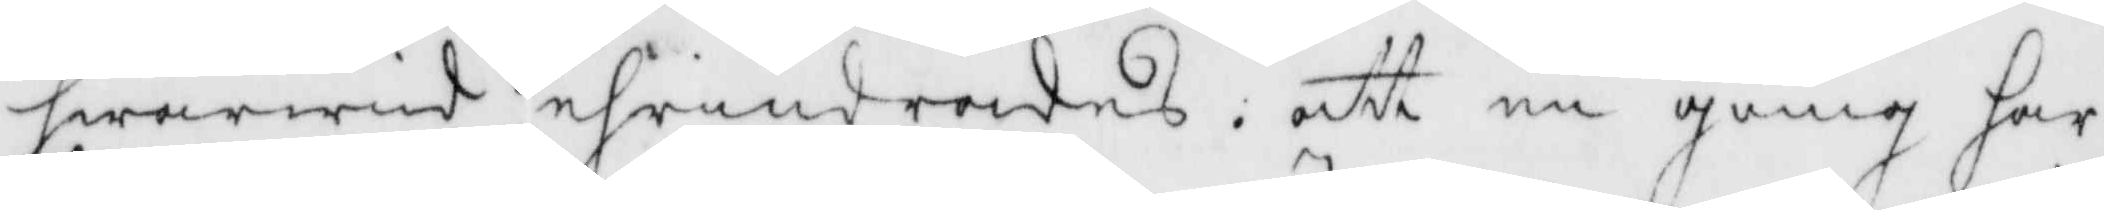hwarwid ehrindrades att en gång har
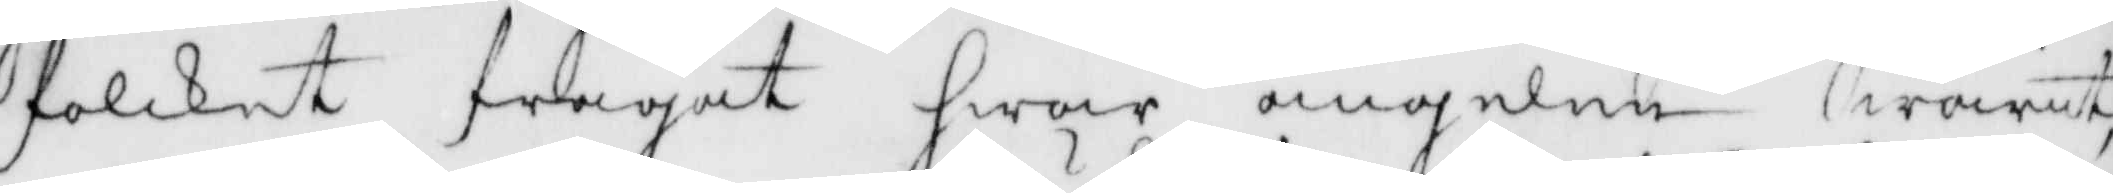folcket frågat hwar ängelen, warit,
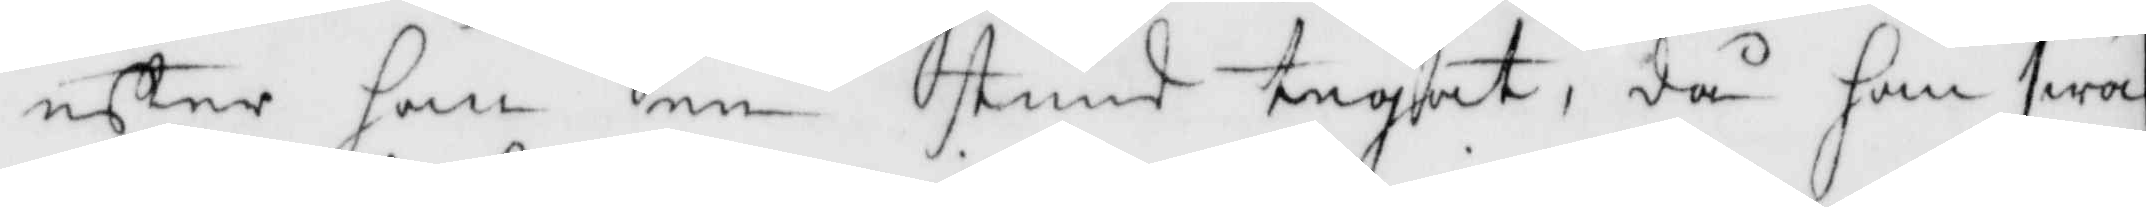eftter han en stund tegat, då han swa¬
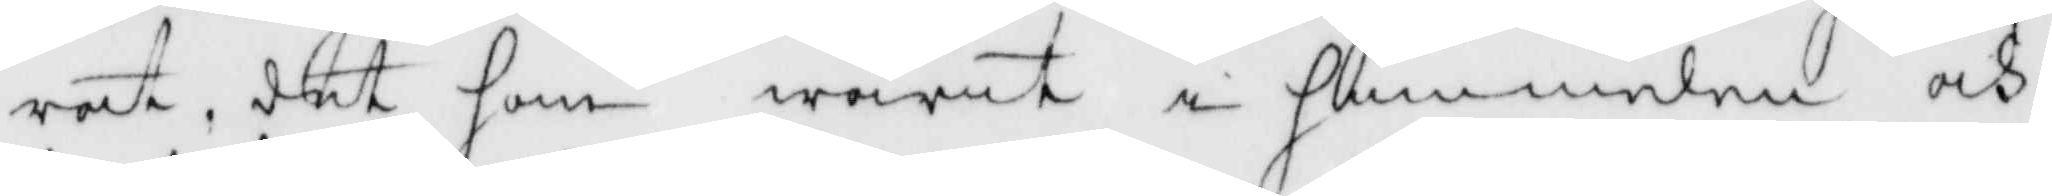rat, det han warit i himmelen och
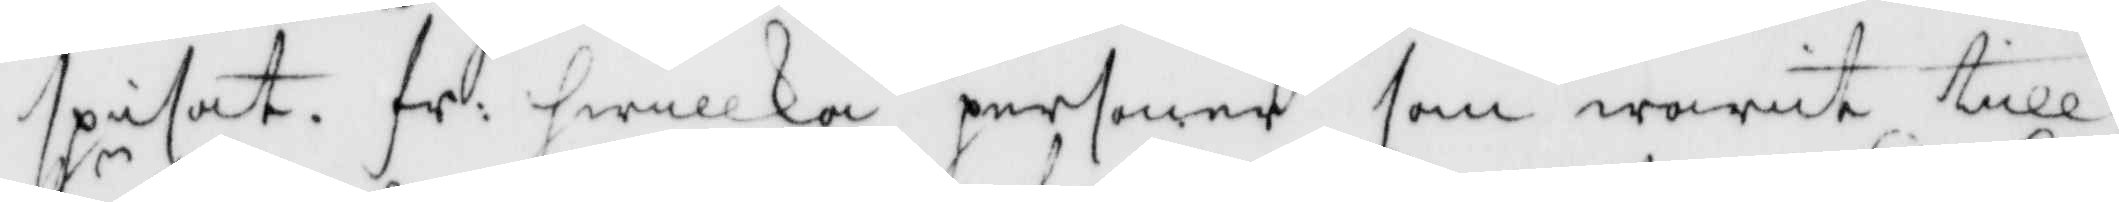spisat. fr: hwilka personer som warit till 
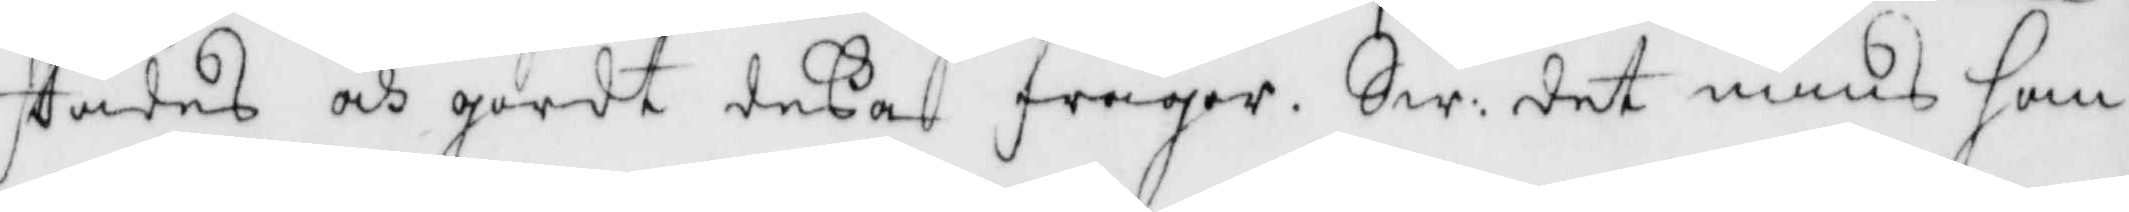städes och gordt deßa frågor, Sw: det mins han
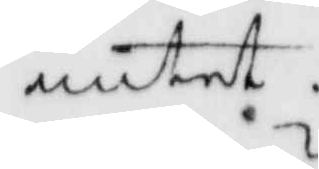intet.
